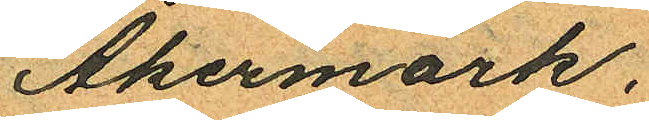Åkermark.
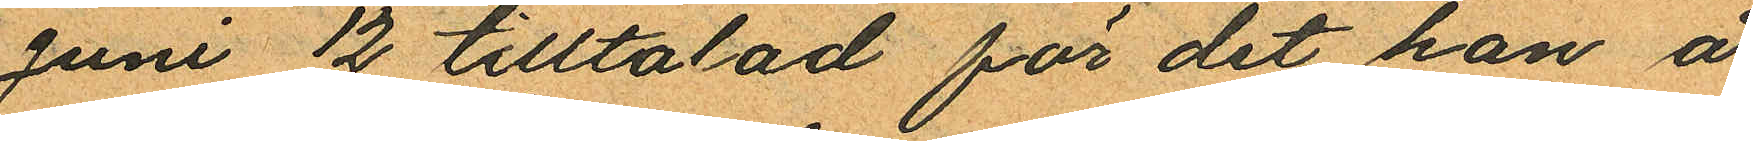Juni 12 tilltalad för det han å
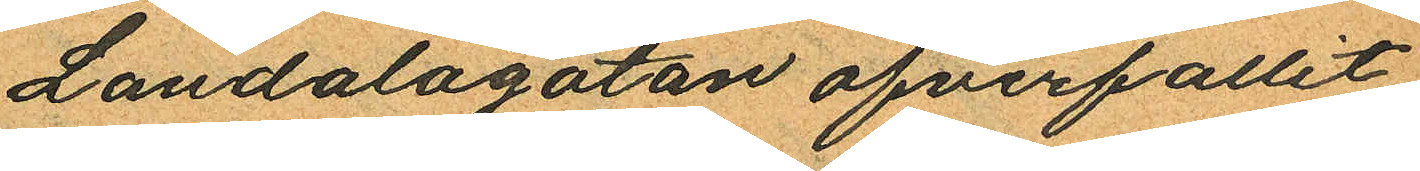Landalagatan öfverfallit
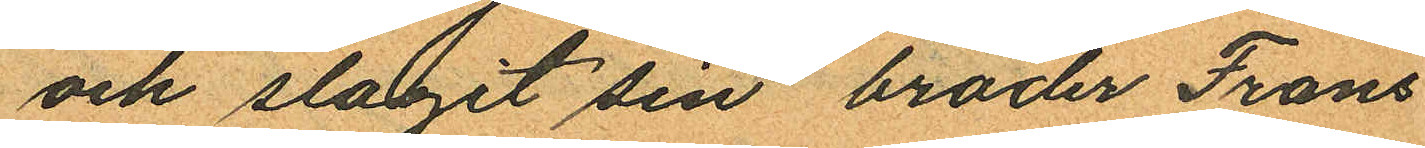och slagit sin broder Frans
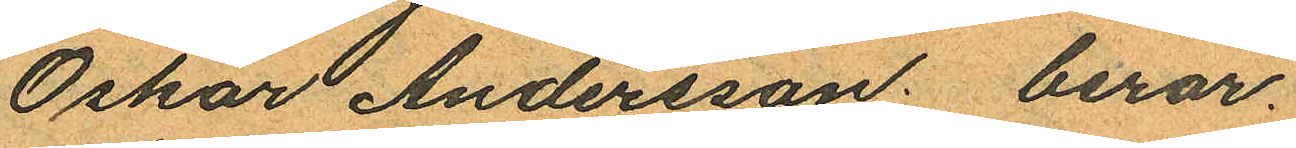Oskar Andersson: beror.
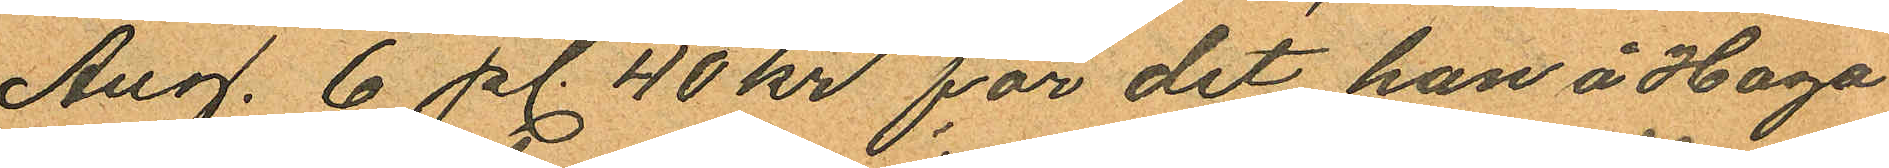Aug. 6 pl. 40 kr för det han å Haga
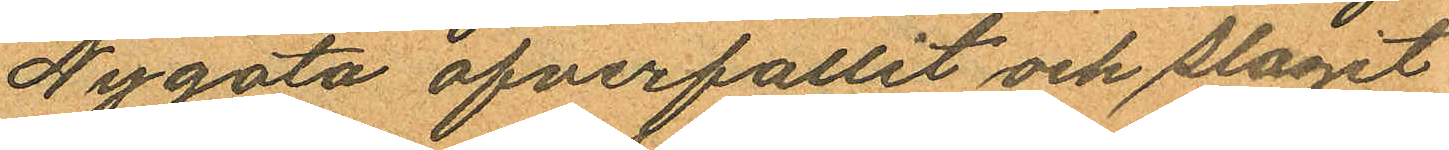Nygata öfverfallit och slagit
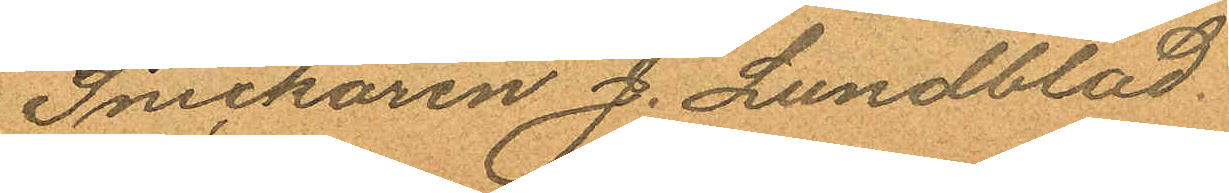Snickaren J. Lundblad.
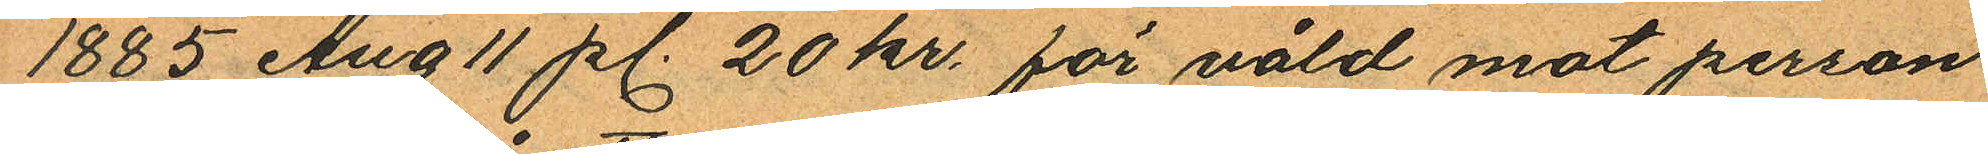1885 Aug 11 pl. 20 kr. för våld mot person
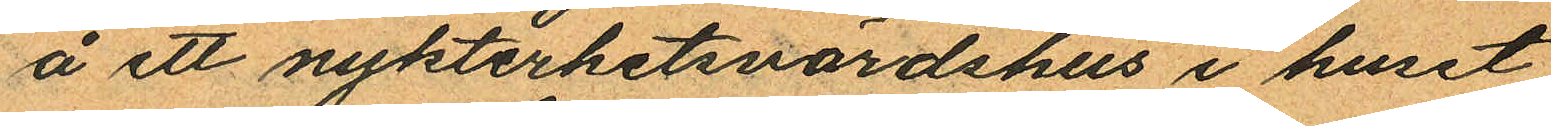å ett nykterhetsvärdshus i huset
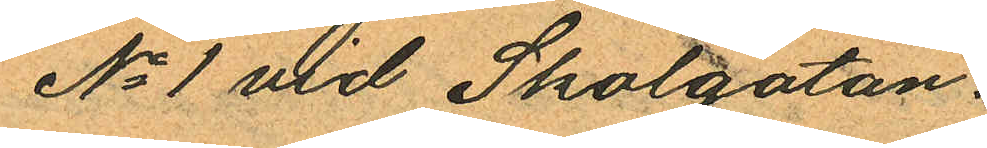No 1 vid Skolgatan.
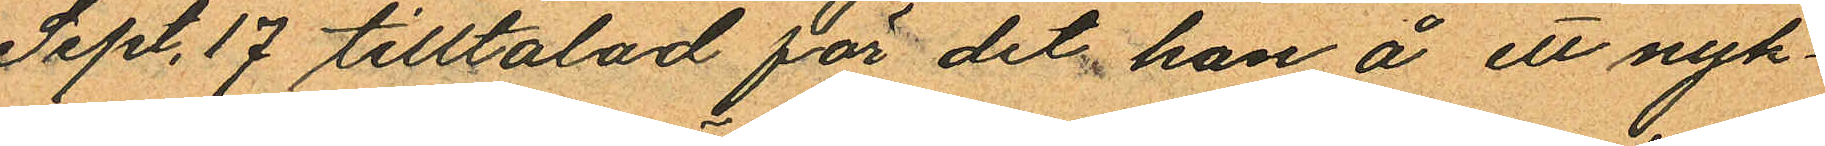Sept. 17 tilltalad för det han å ett nyk¬
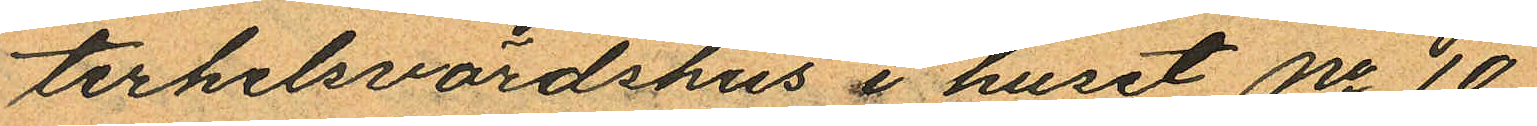terhelsvärdshus i huset No 10
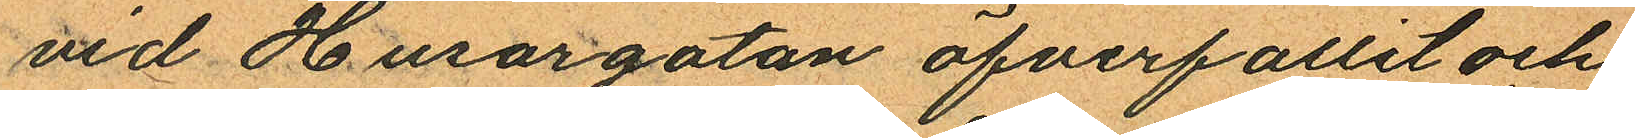vid Husargatan öfverfallit och
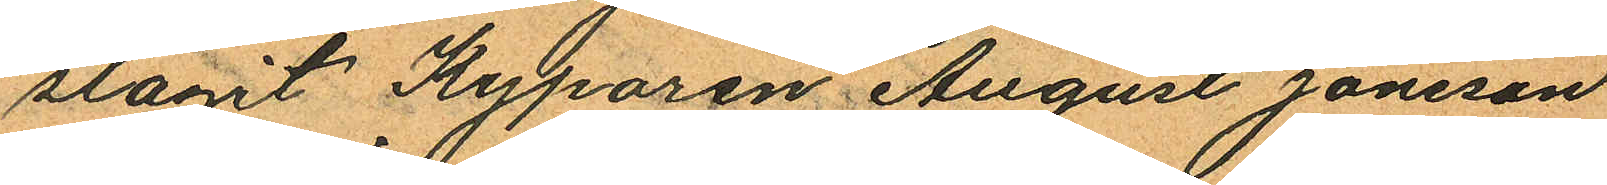slagit Kyparen August Jansson
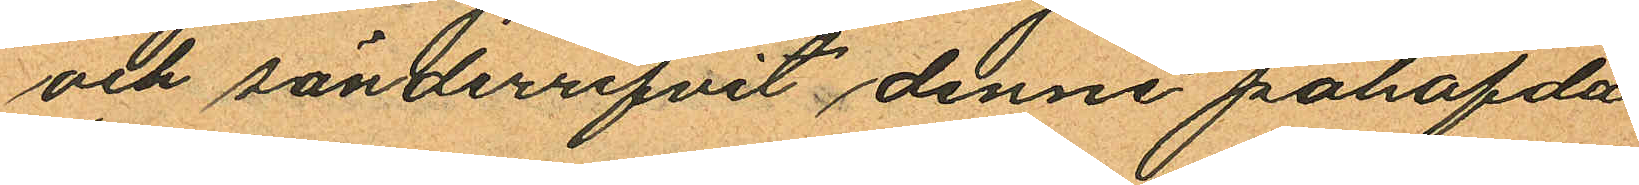och sönderrifvit denne påhafda
